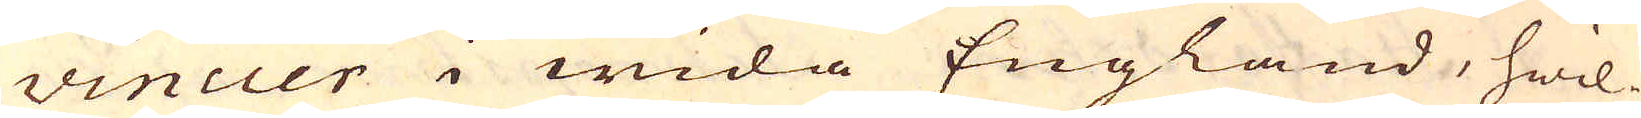vincier i wida England, hwil-
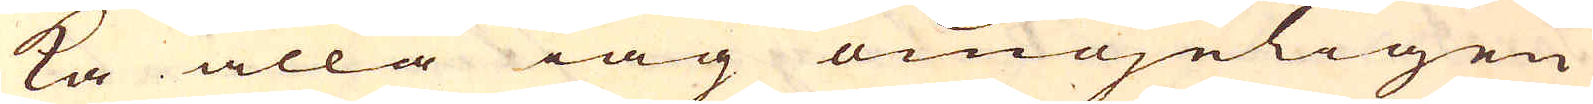ka alla iag omöjeligen
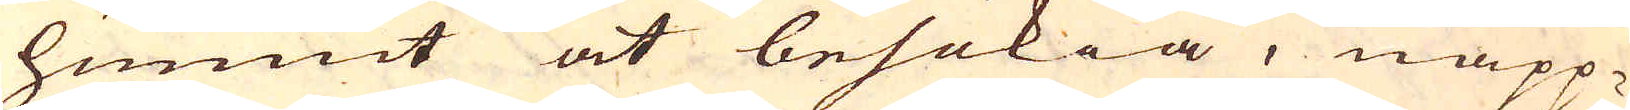hunnit at besökia, näpp-
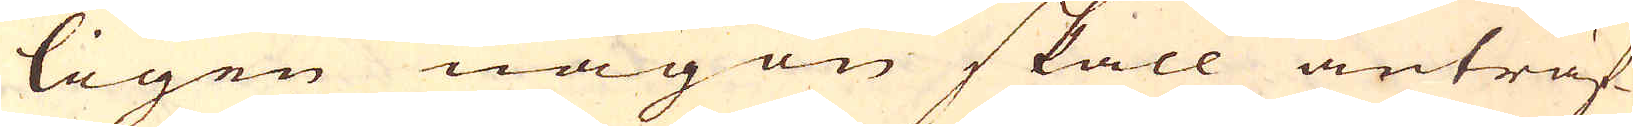ligen någon skall anträf-
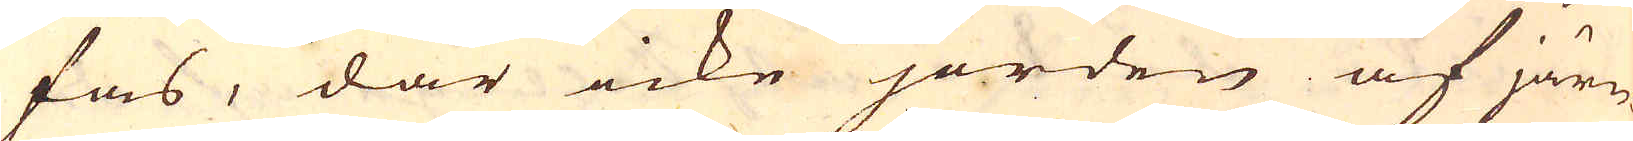fas, där icke jorden af järn-
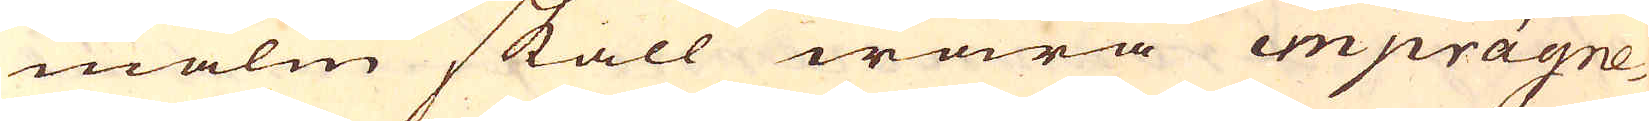malm skall wara imprägne-
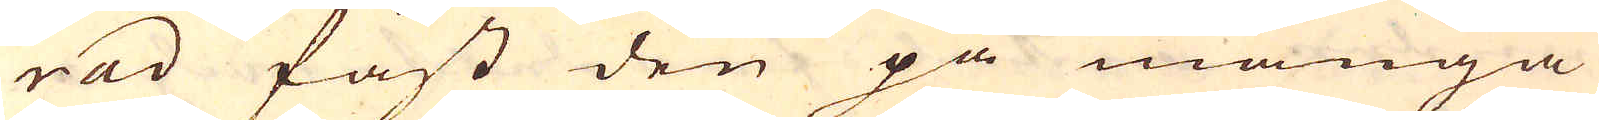rad fast den på många
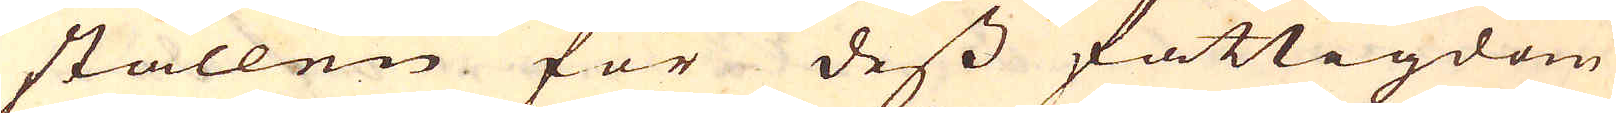ställen för dess fattigdom
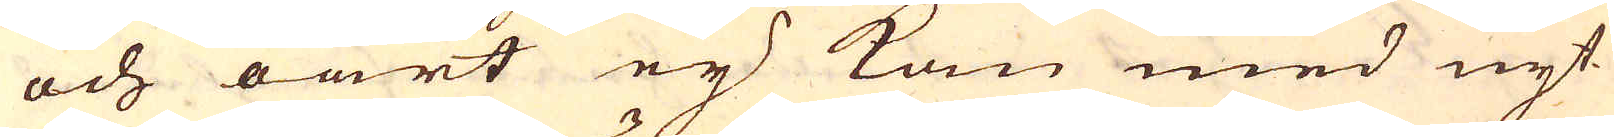och oart ey kan med nyt-
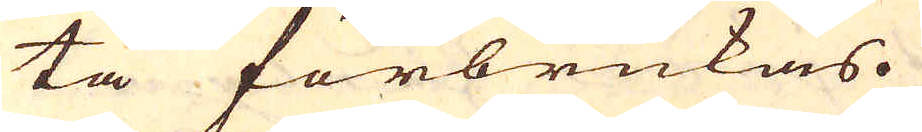ta förbrukas.
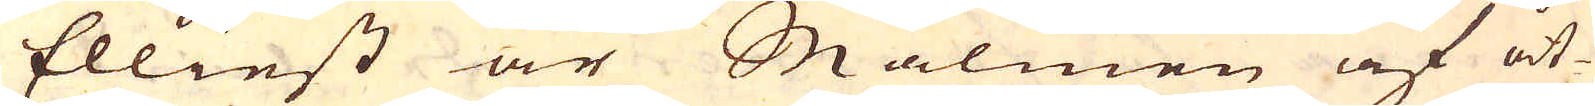Elliest är Malmen af åt-
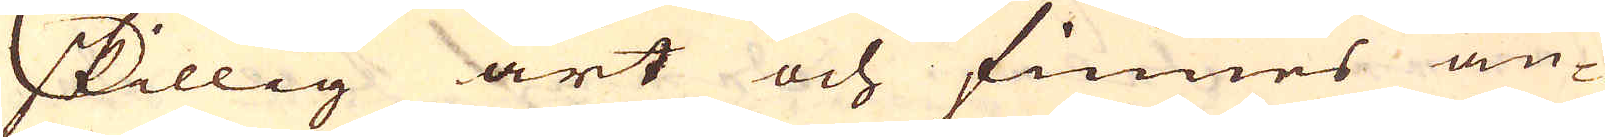skillig art och finnes an-
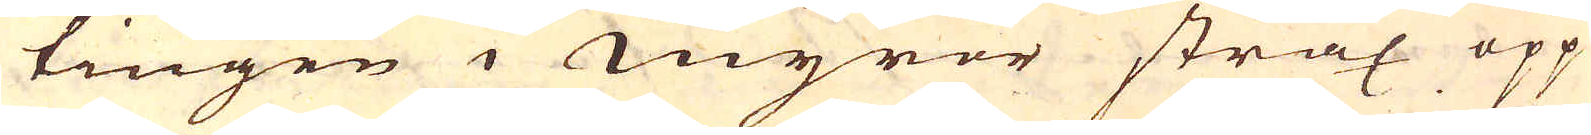tingen i Myror strax opp
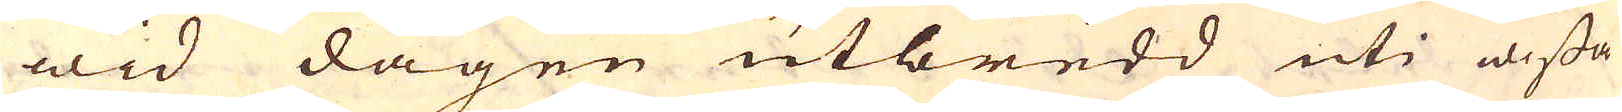wid dagen utbredd uti wissa
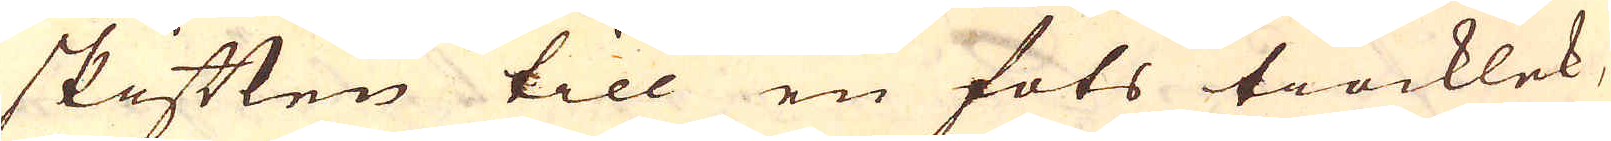skiften till en fots tiocklek,
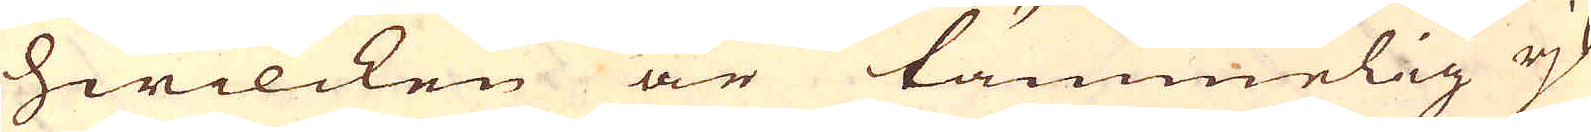hwilcken är tämmelig rjk
